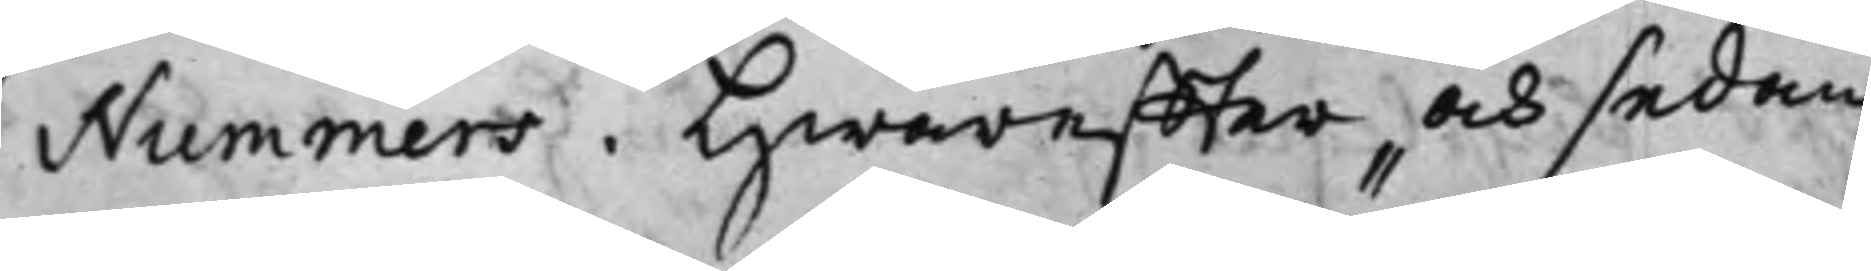Nummers. Hwareffter och sedan
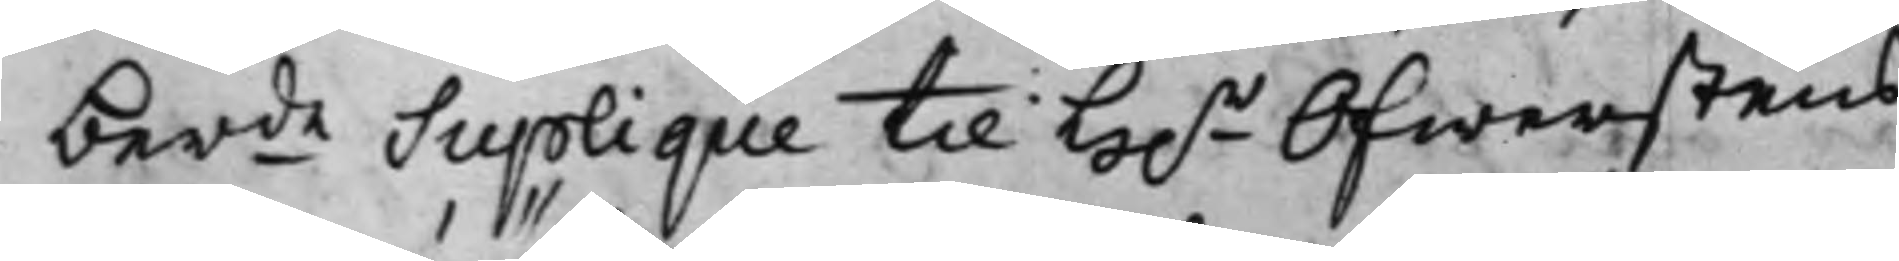berde Suplique til H.r Öfwerstens
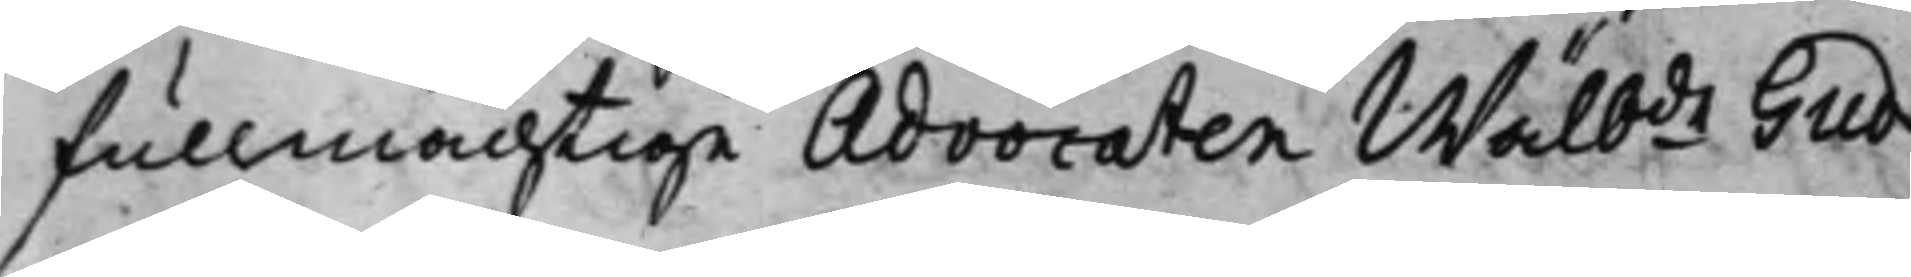fullmächtige Advocaten Wälbde Gud¬
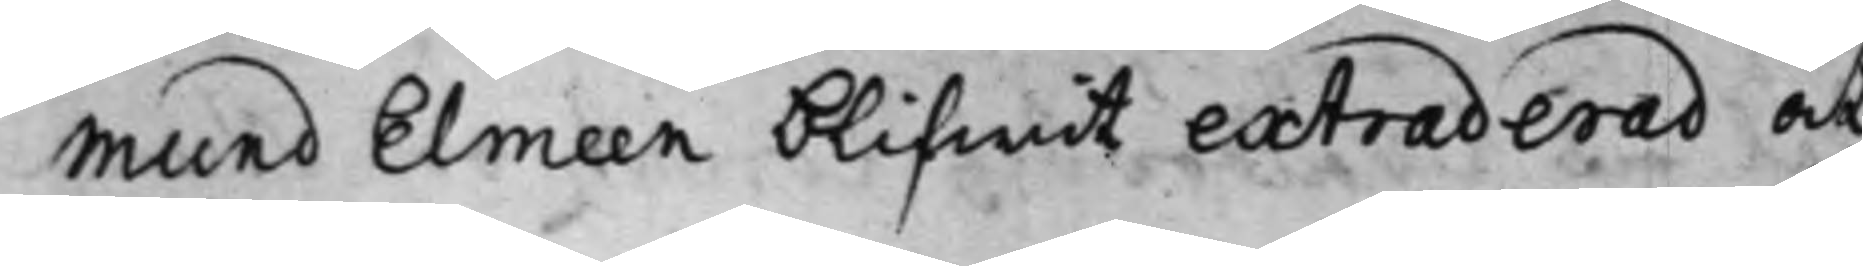mund Elmeen blifwit extraderad at
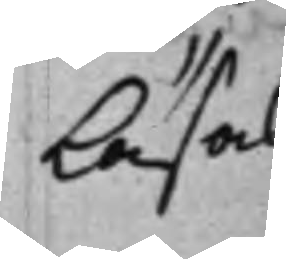Läsas
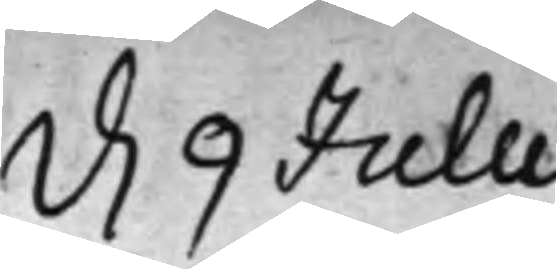d. 9 Julii
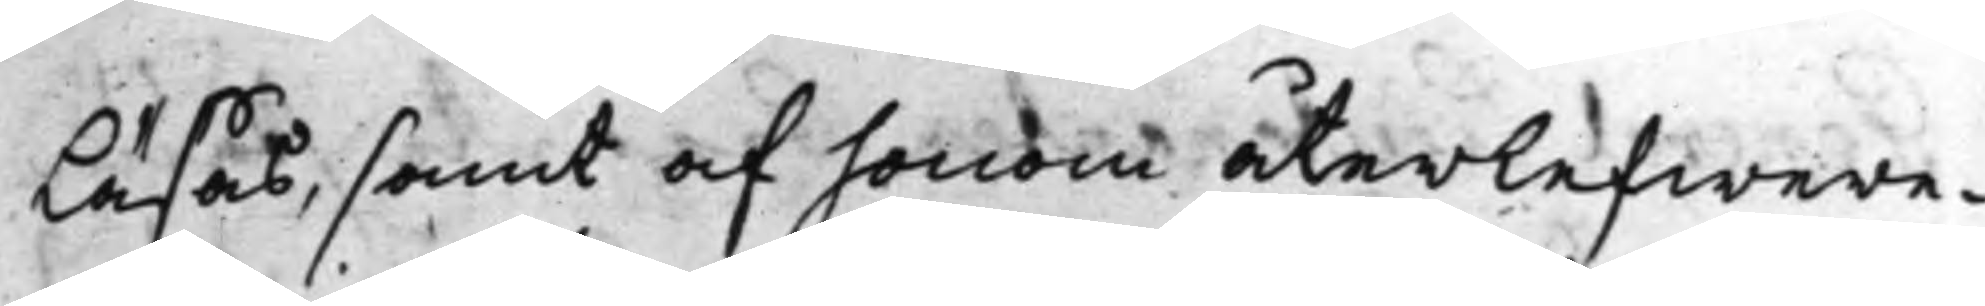Läsas, samt af honom återlefwere¬
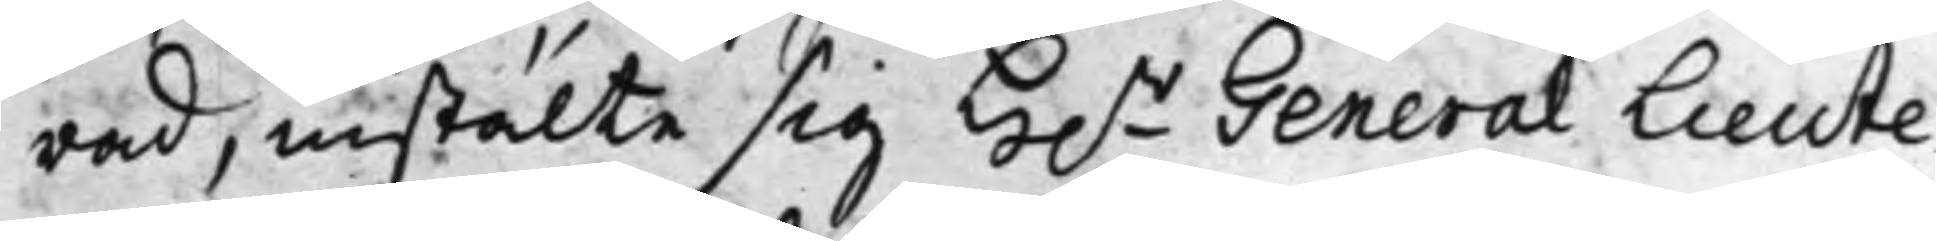rad, instälte sig H.r General Lieute¬
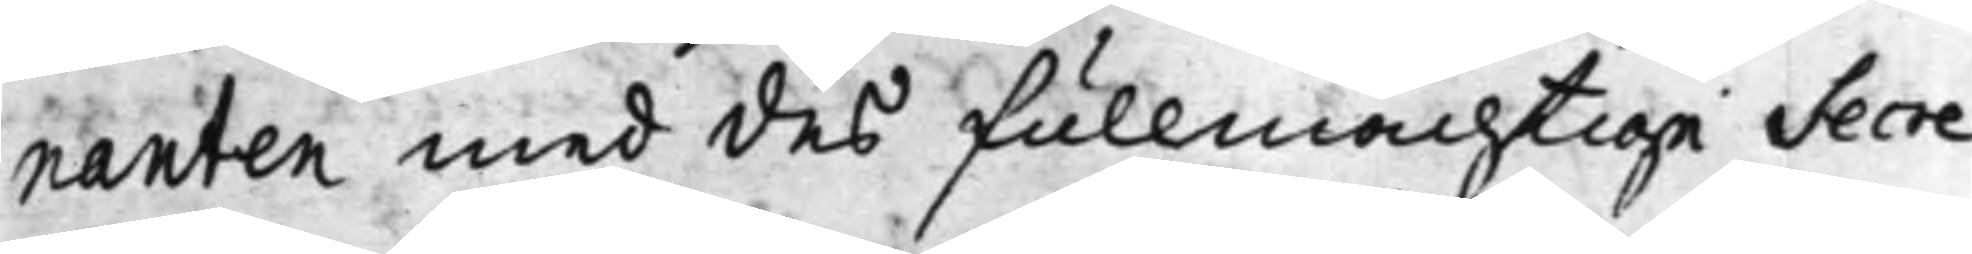nanten med des fullmächtige Secre¬
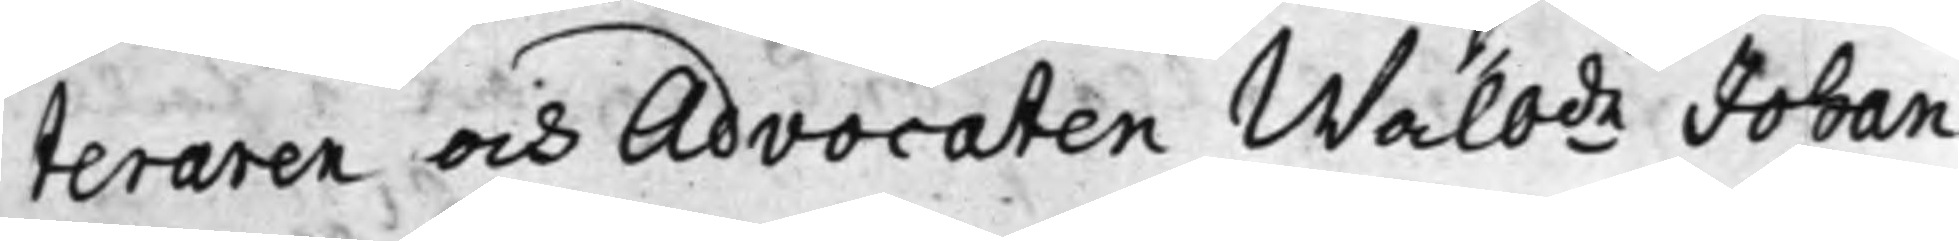teraren och Advocaten Wälbde Johan
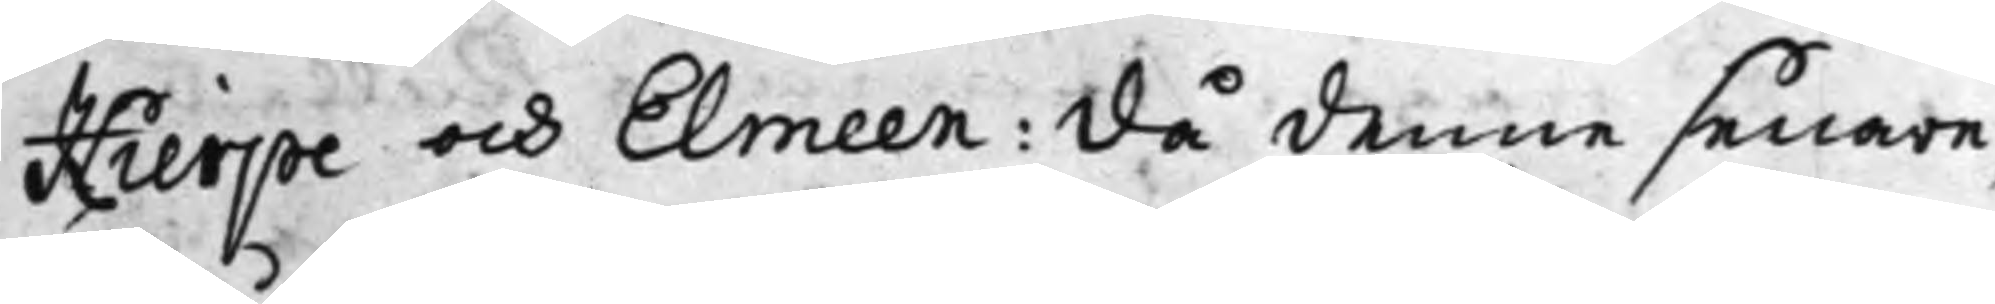Hierpe och Elmeen: Då denne senare,
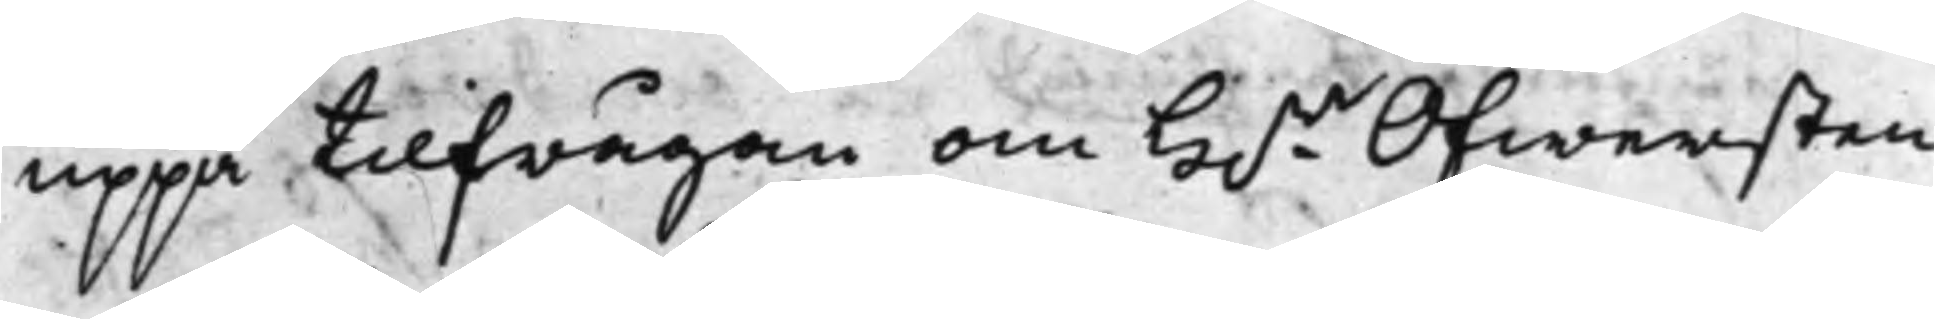uppå tilfrågan om H.r Öfwersten
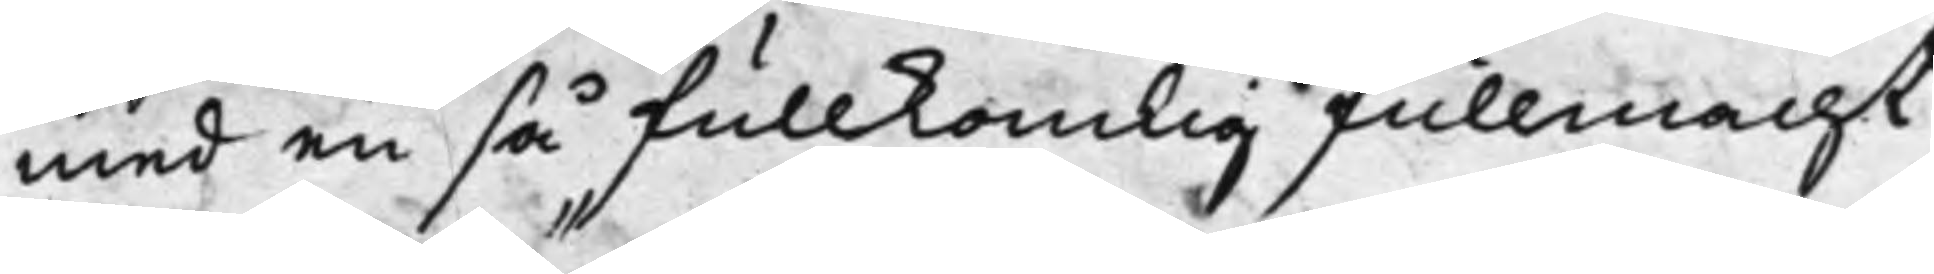med en så fullkomlig fullmacht
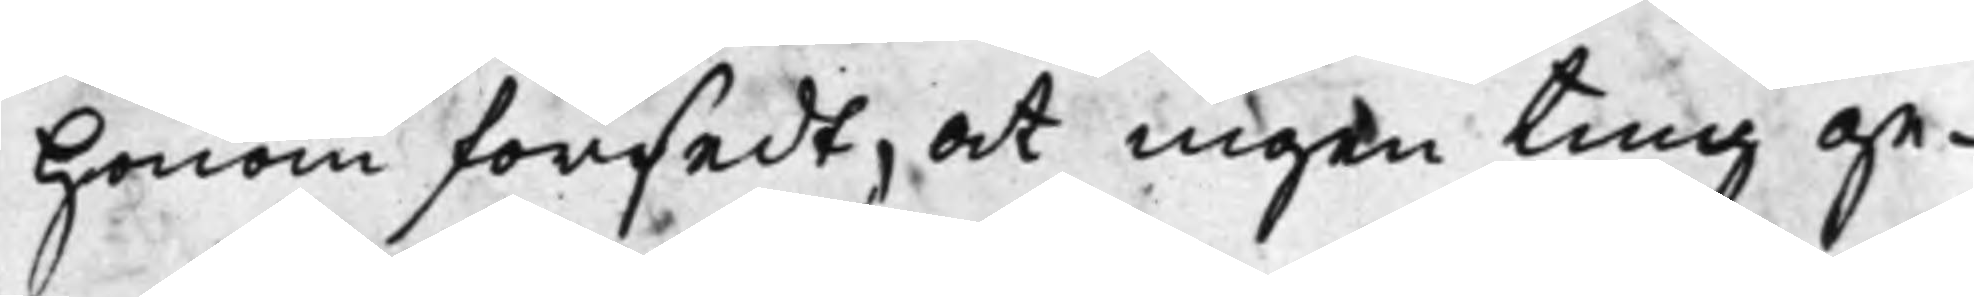Honom försedt, at ingen ting ge¬
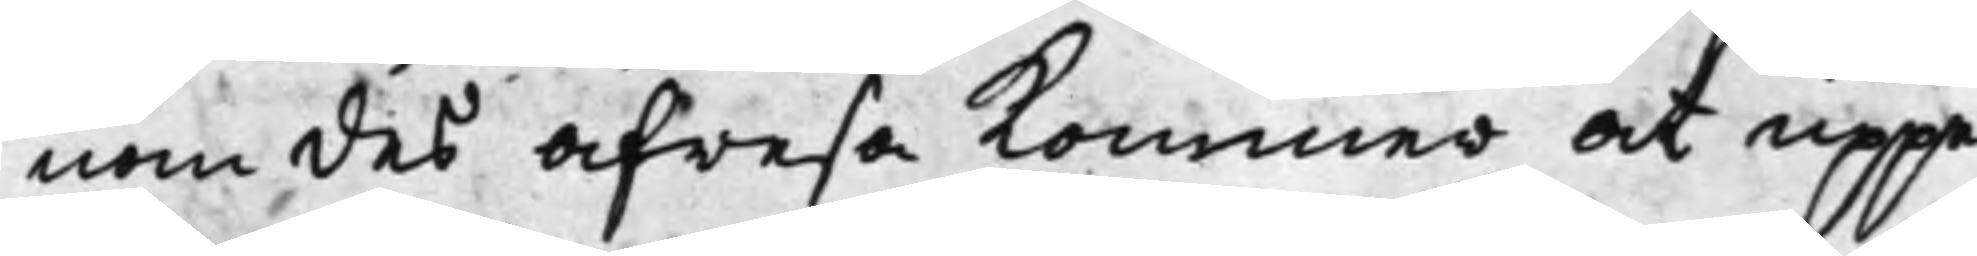nom des afresa Kommer att uppe¬
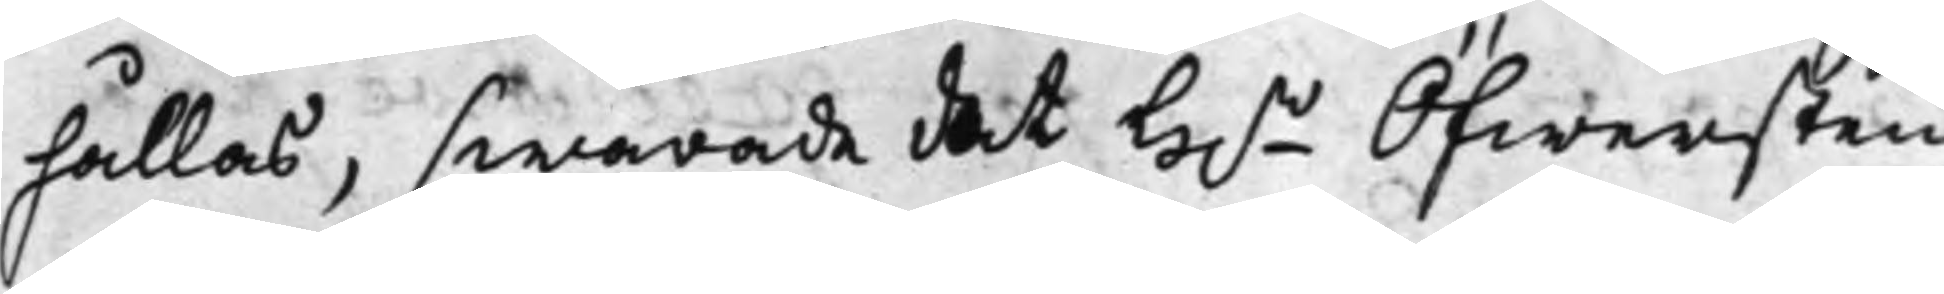hållas, swarade det H.r Öfwersten
